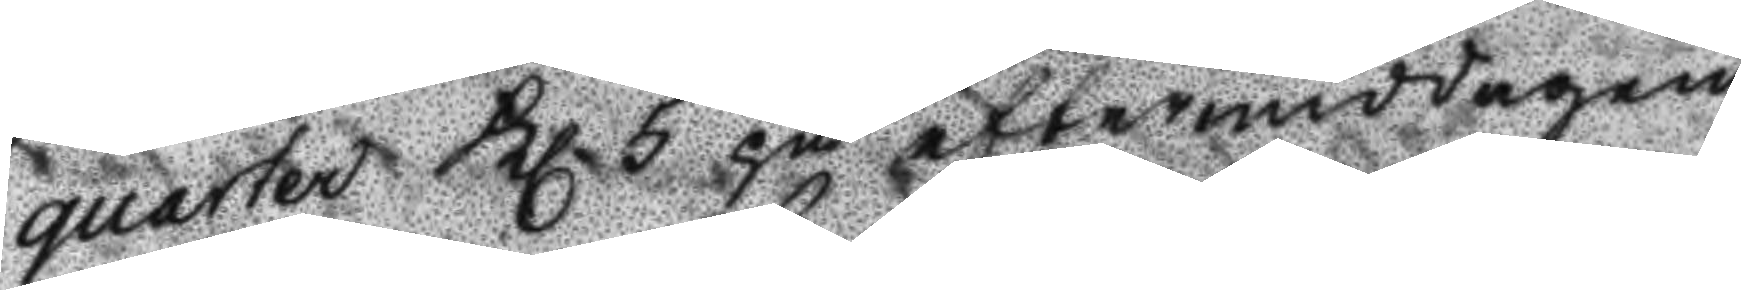quarter Kl. 5 på eftermiddagen.
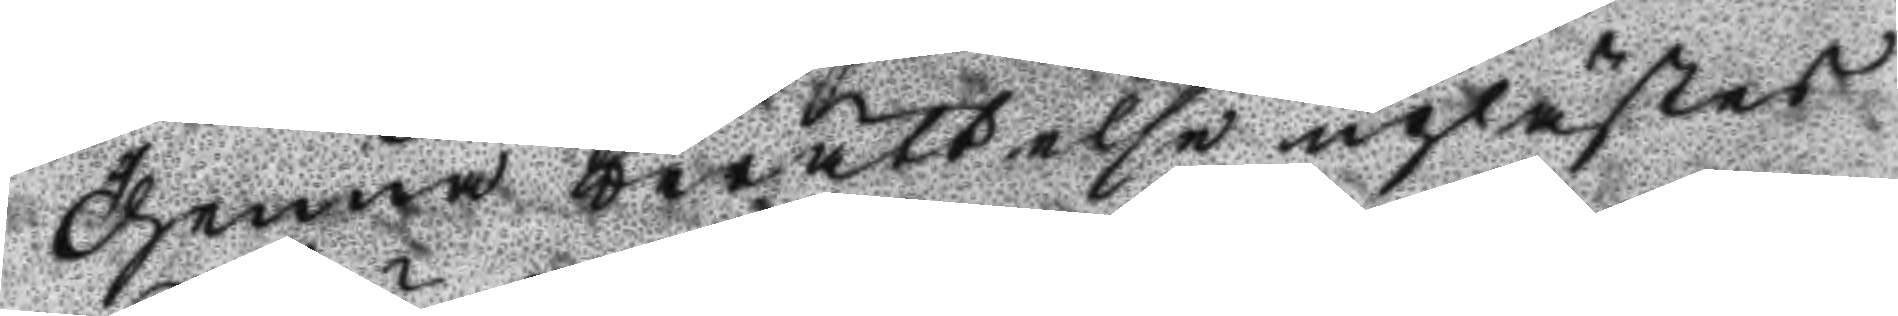Dhenna berättelse uplästes
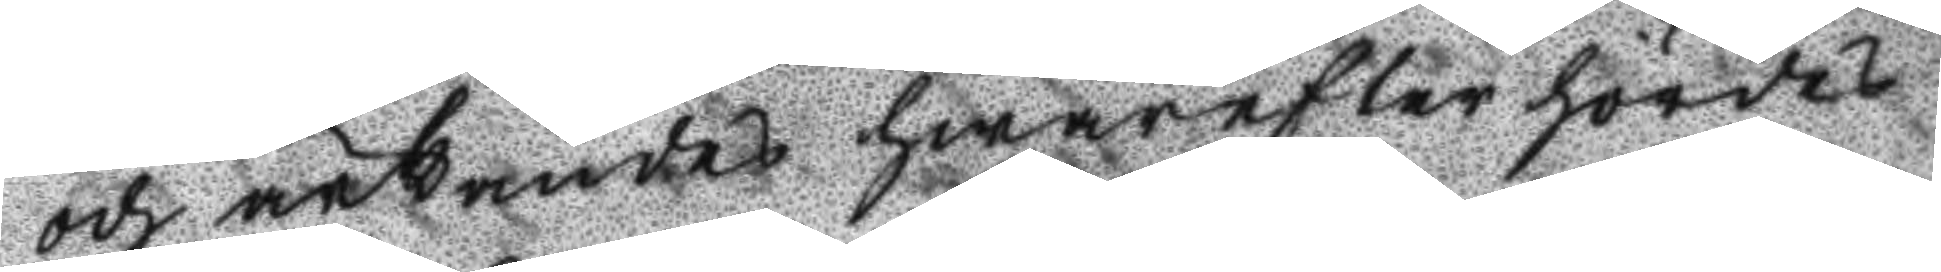och ärkändes hwarefter hördes
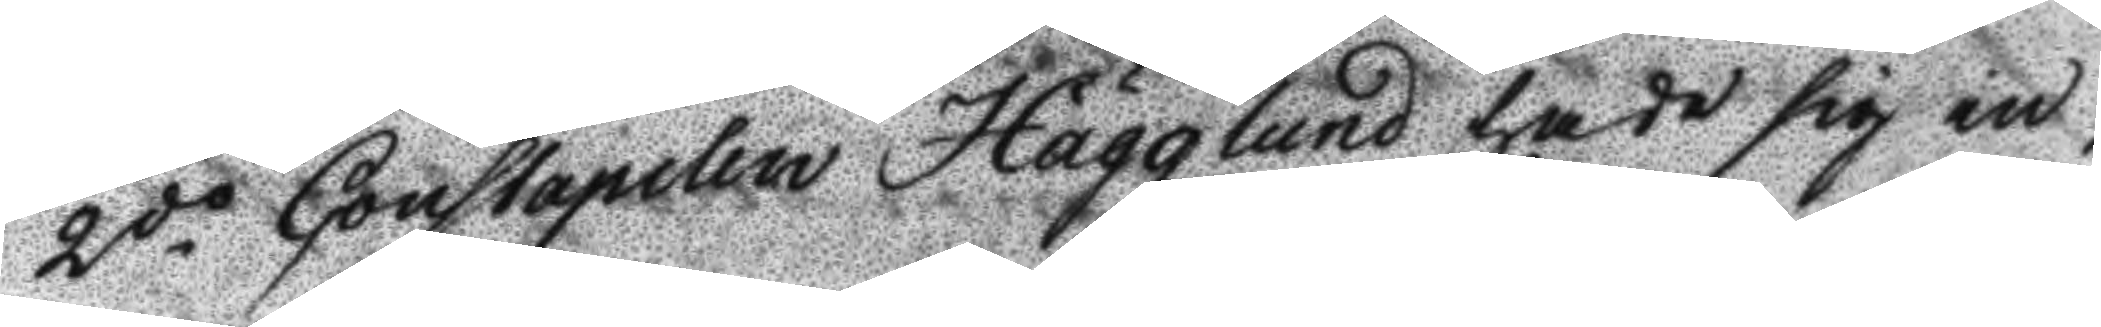2do. Constapelen Hägglund hade sig in¬
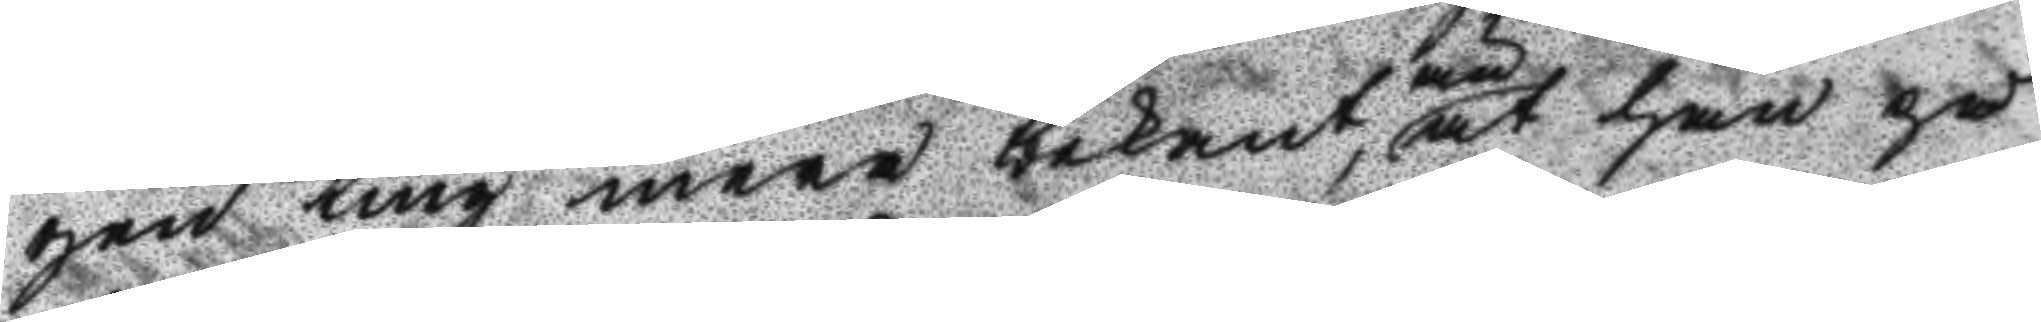gen ting mera bekant än at han på
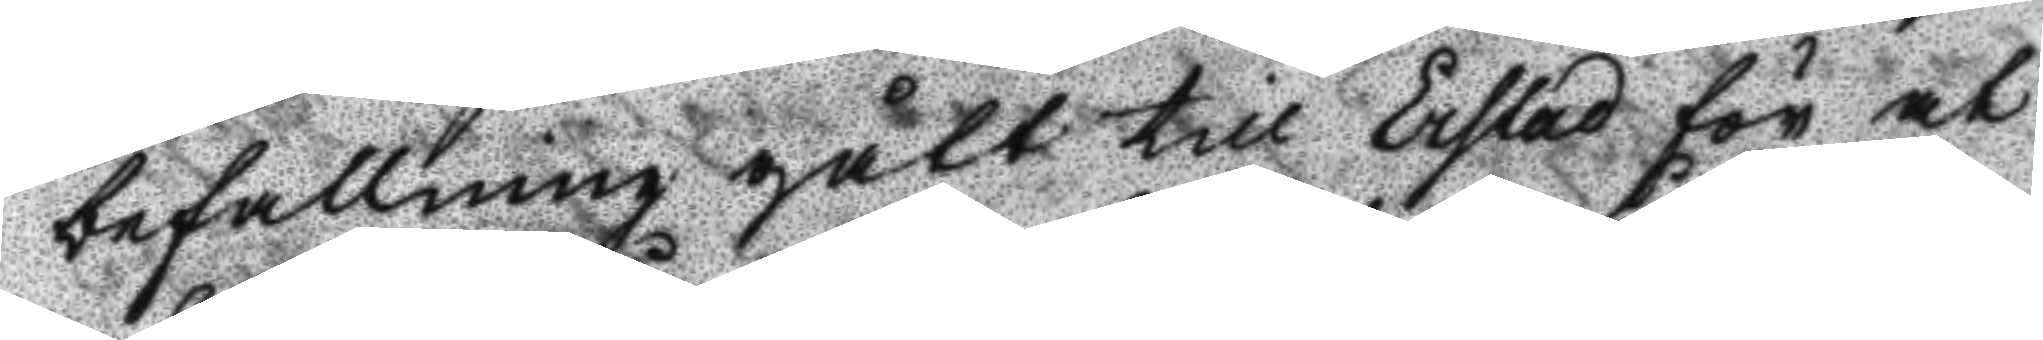befallning gått till Erstad för at
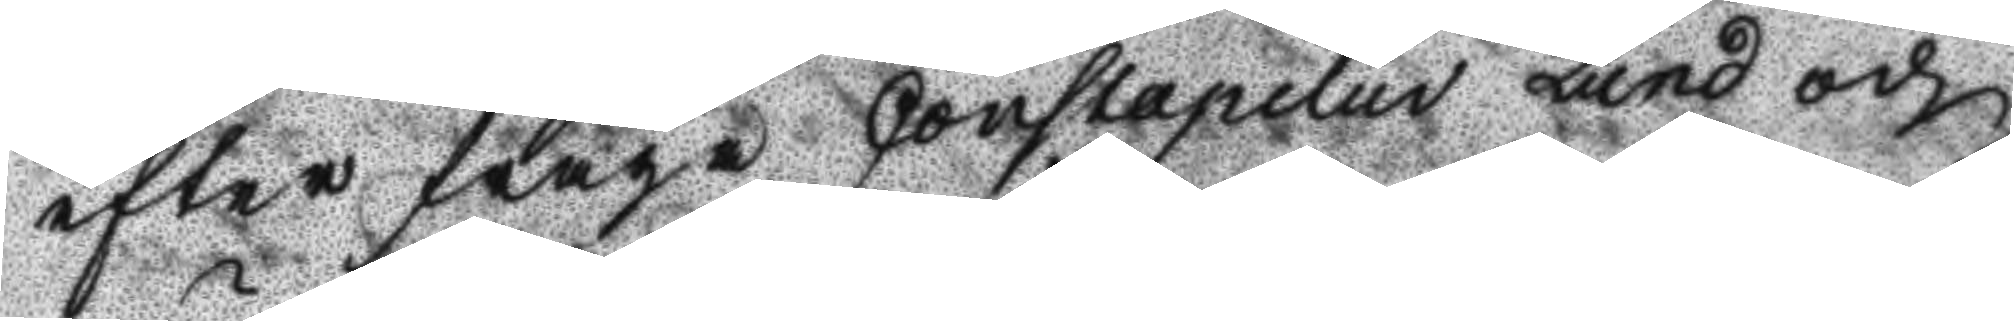efter fråga Constapelen Lund och
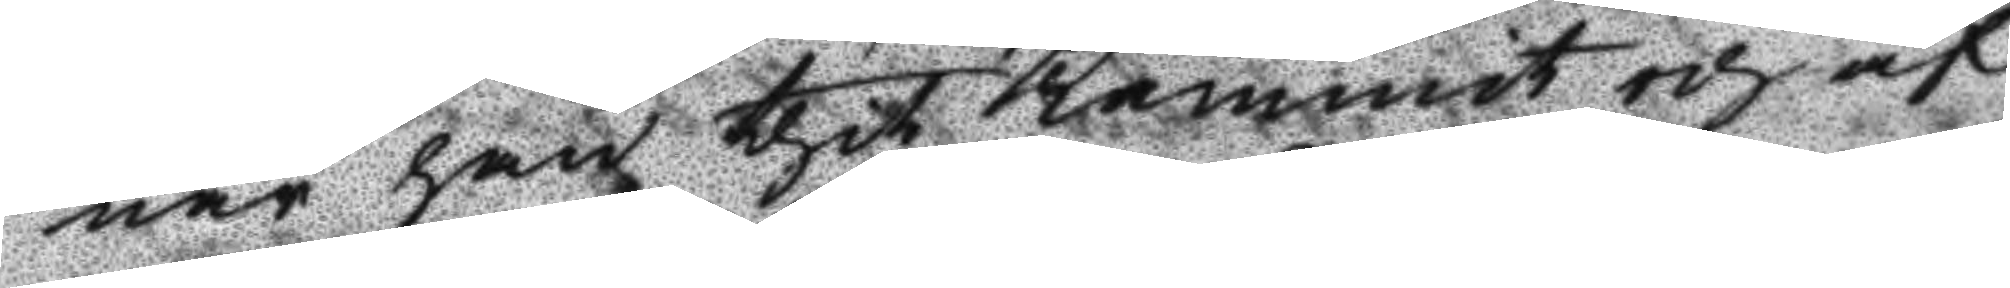när han thit kommit och af
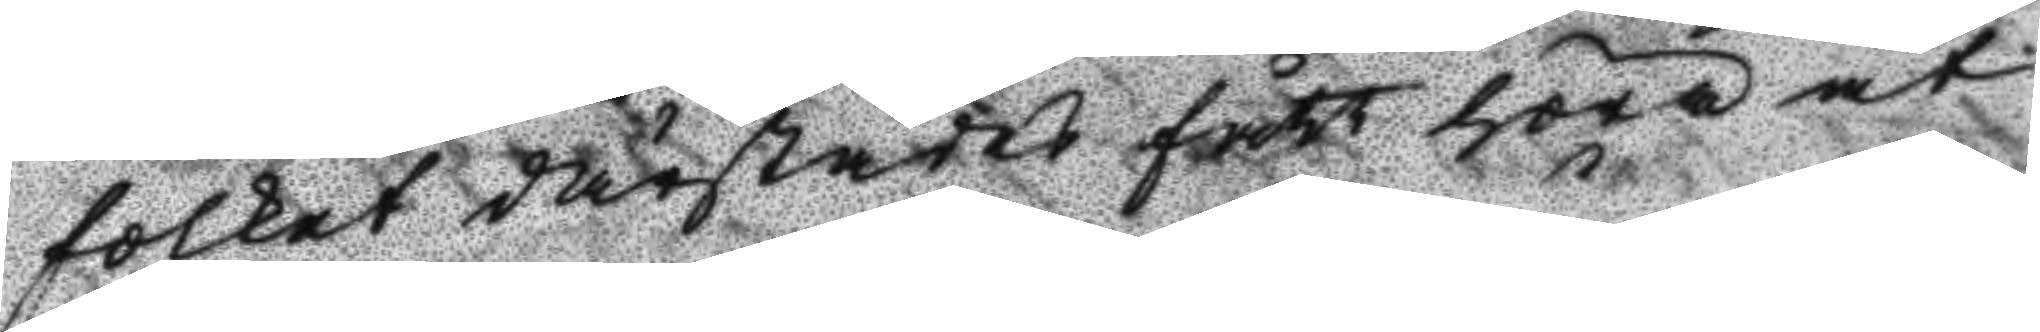folket därstädes fått höra at
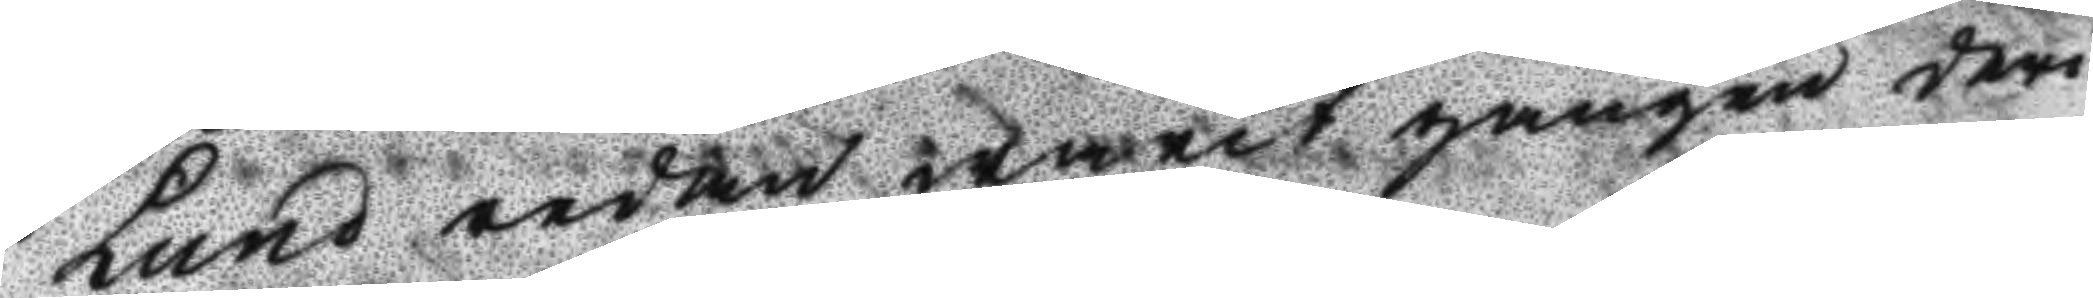Lund redan warit gången deri
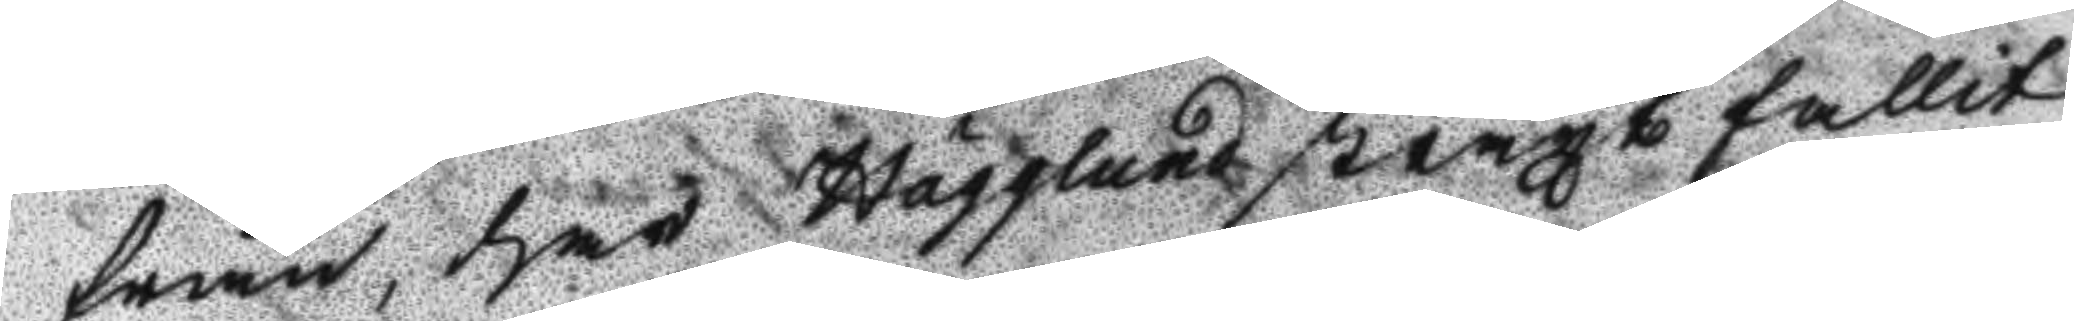från, har Hägglund straxt fallit
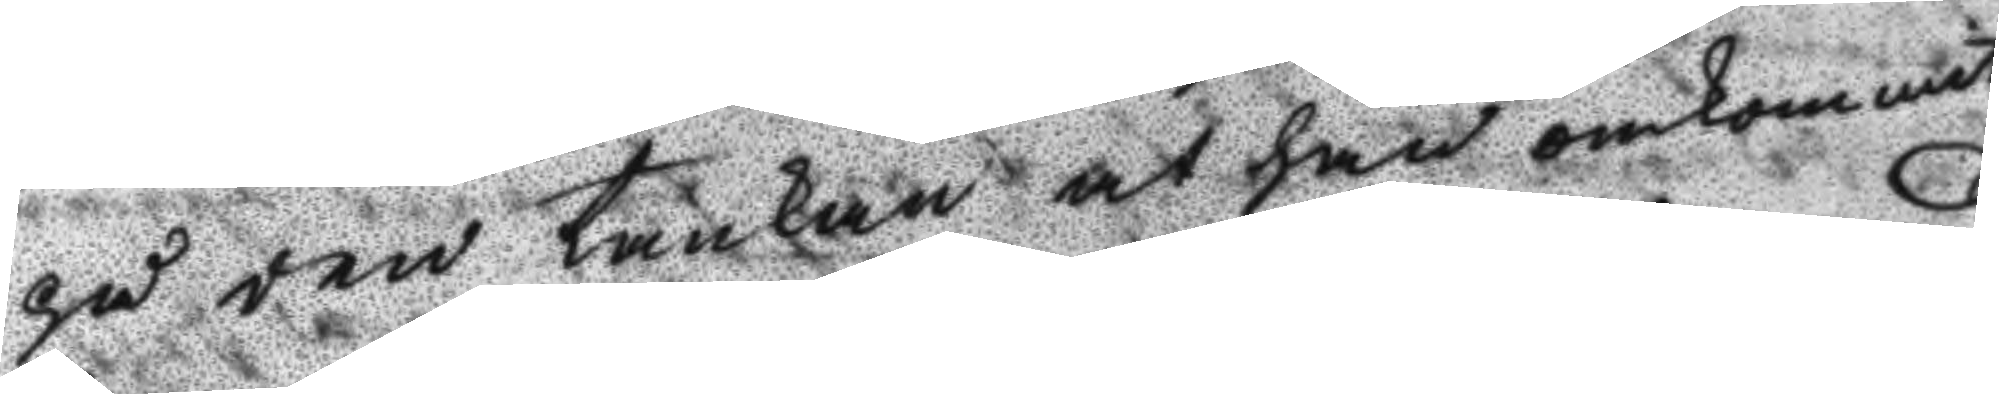på den tankan at han omkommit
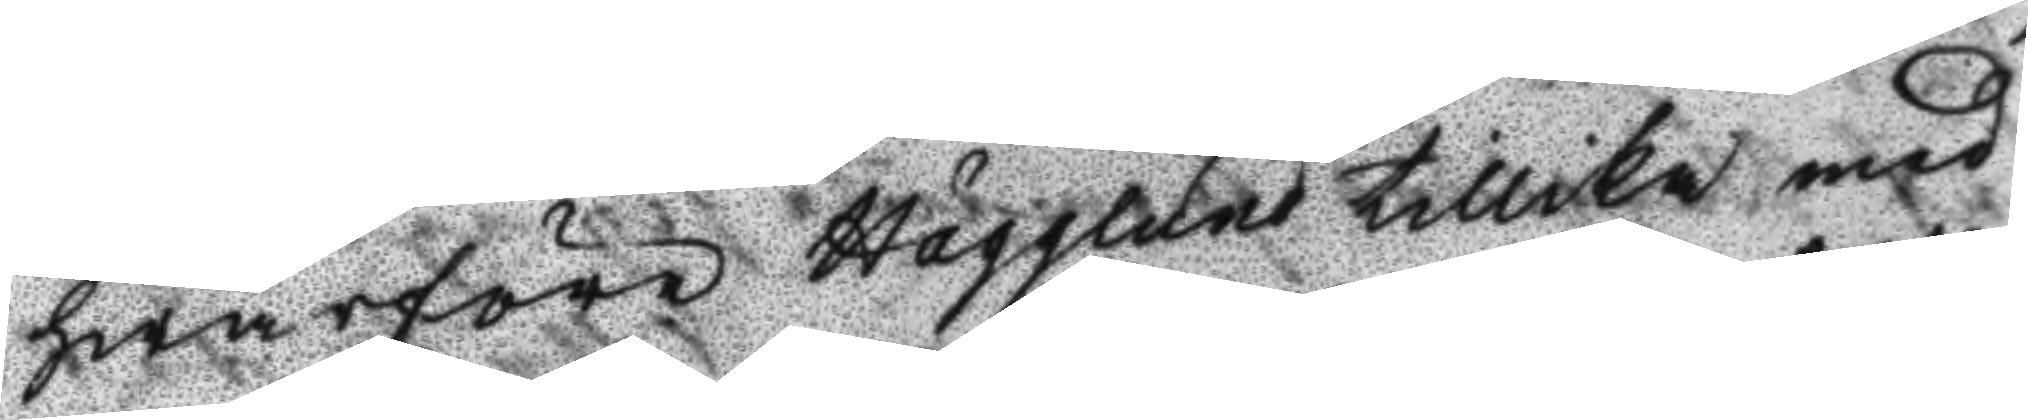hwarföre Hägglund tillika med
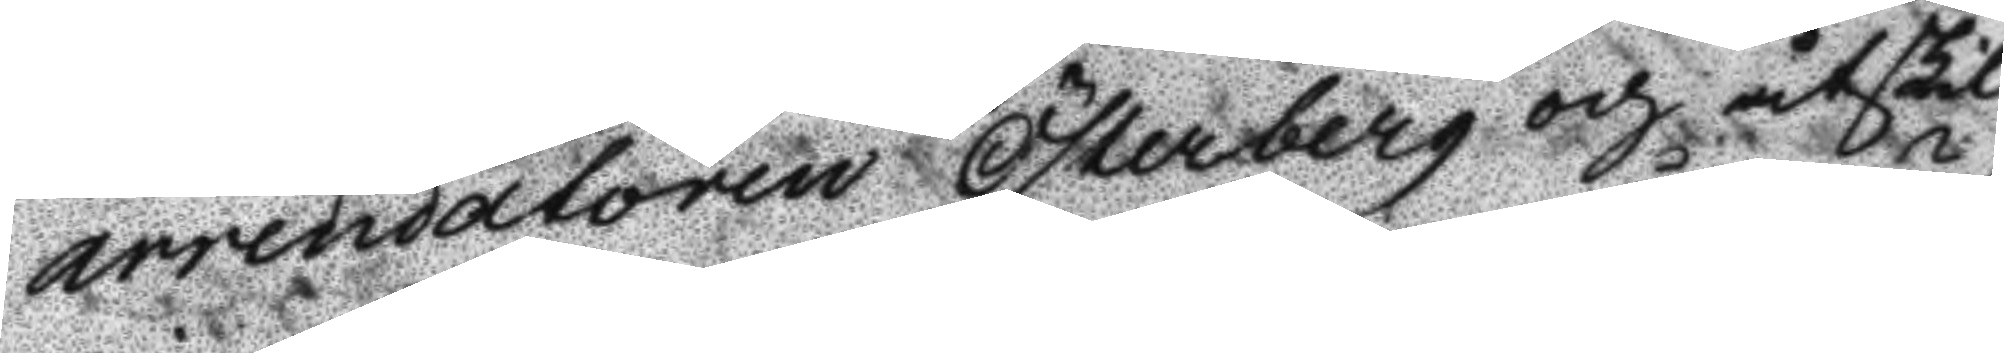arrendatoren Österberg och åtskil¬ 
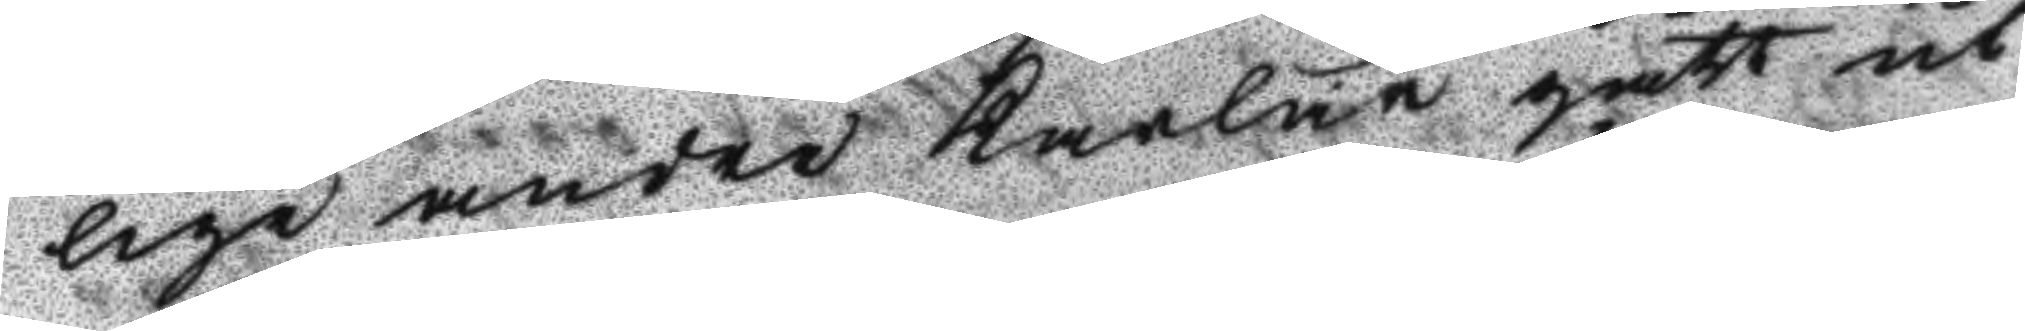lige andre karlar gått ut
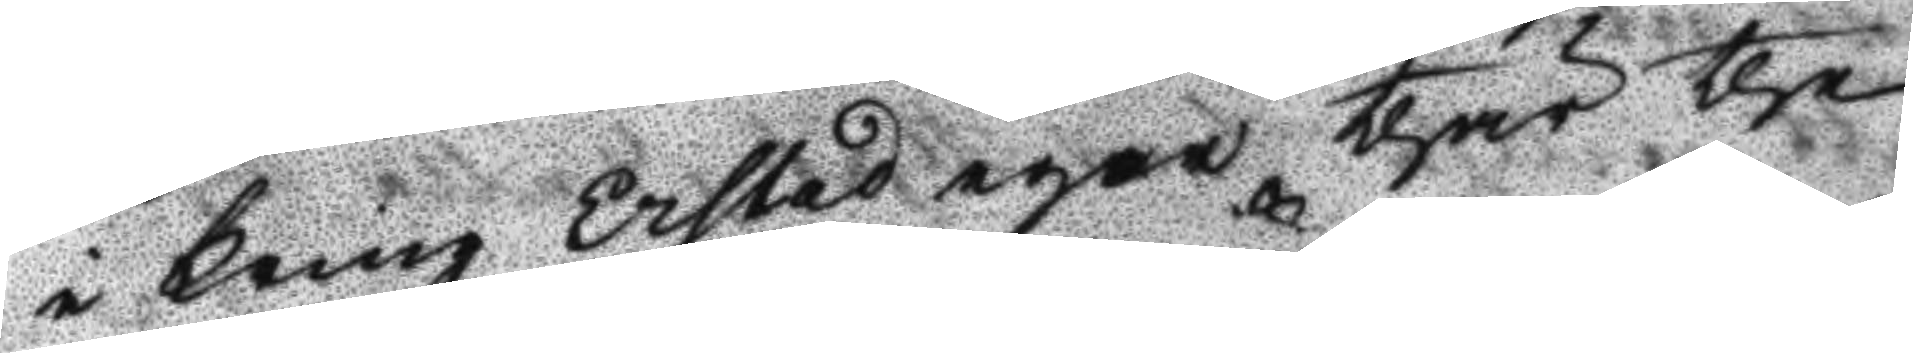i kring Erstad egor thär the
